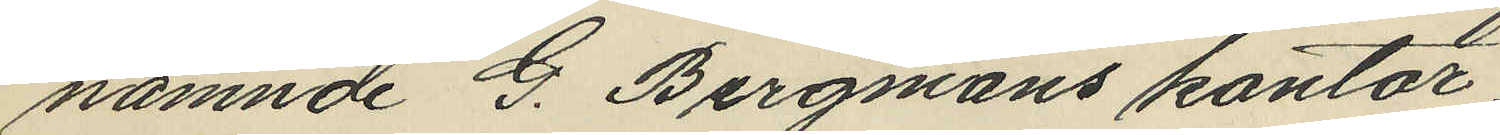nämnde G. Bergmans kontor;
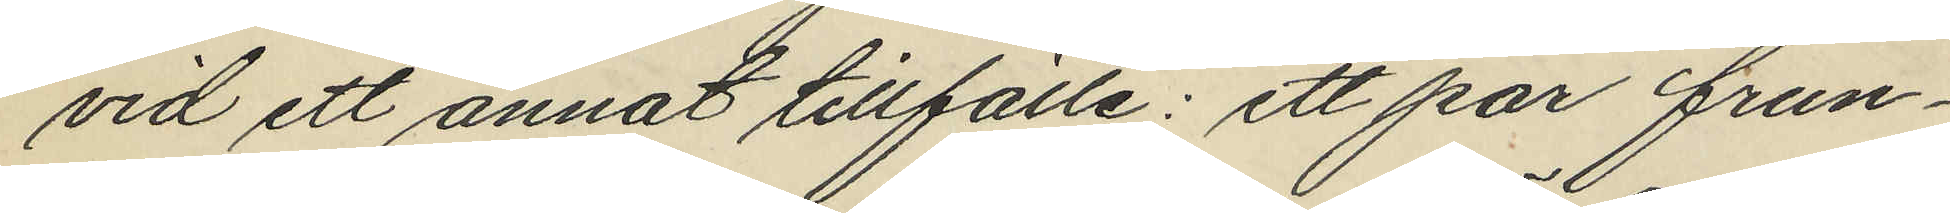vid ett annat tillfälle: ett par frun¬
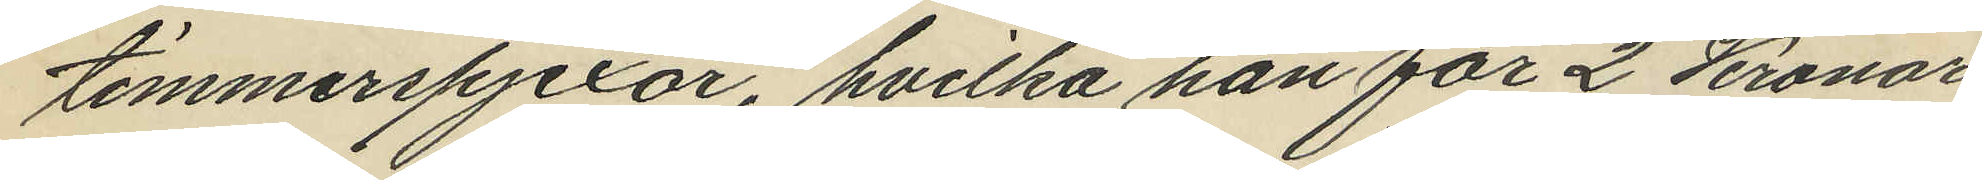timmerspjexor, hvilka han för 2 Kronor
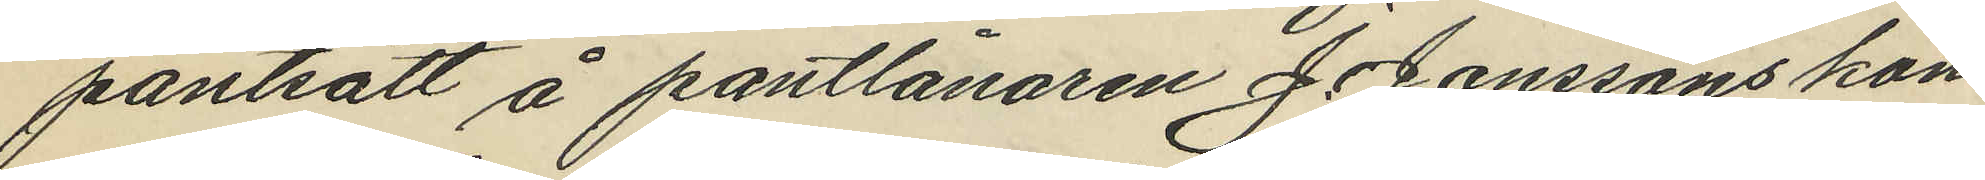pantsatt å pantlånaren J. Jönssons kon¬
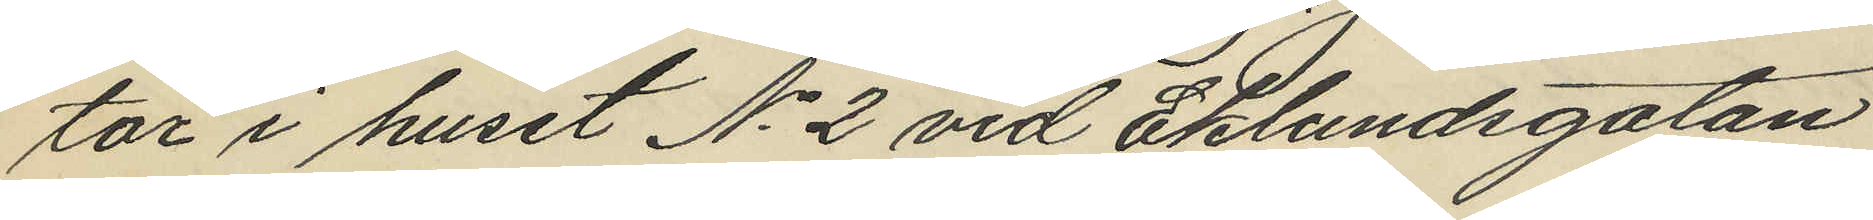tor i huset No 2 vid Eklundsgatan
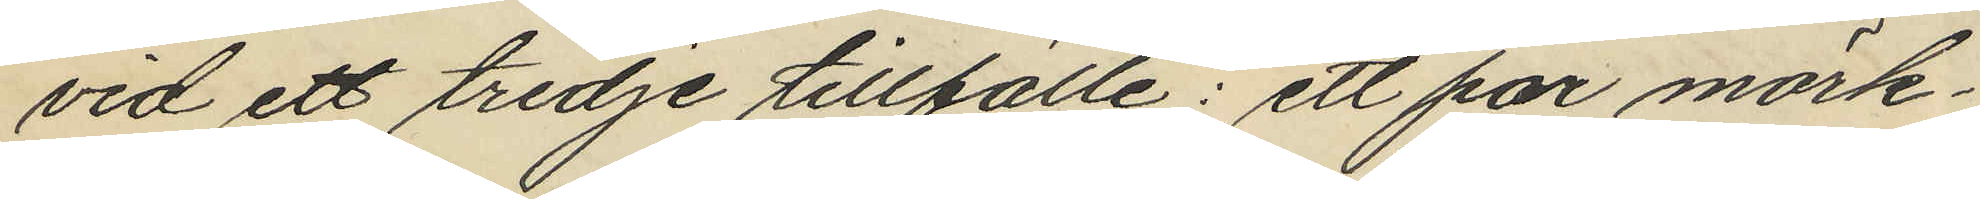vid ett tredje tillfälle: ett par mörk¬
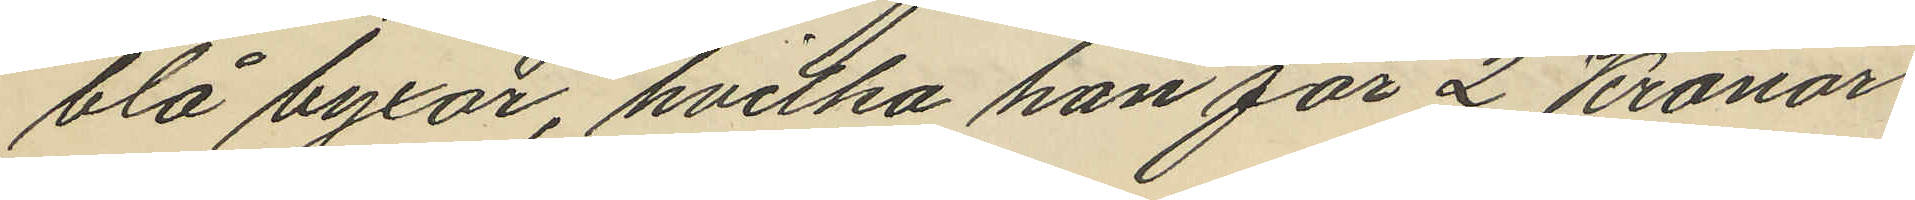blå byxor, hvilka han för 2 Kronor
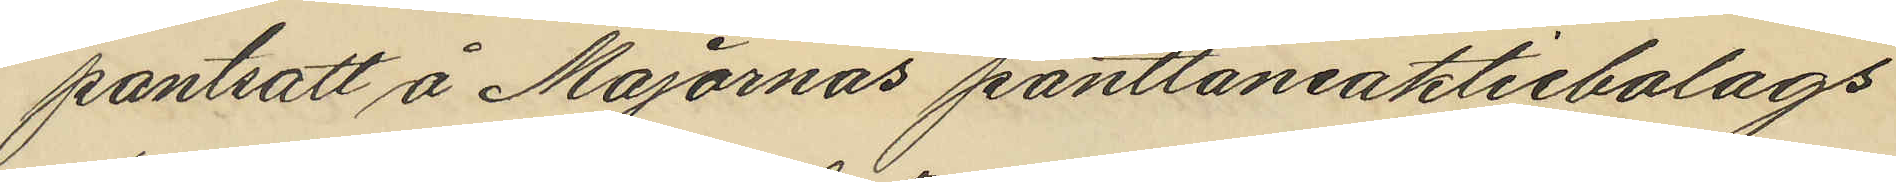pantsatt å Majornas pantlåneaktiebolags
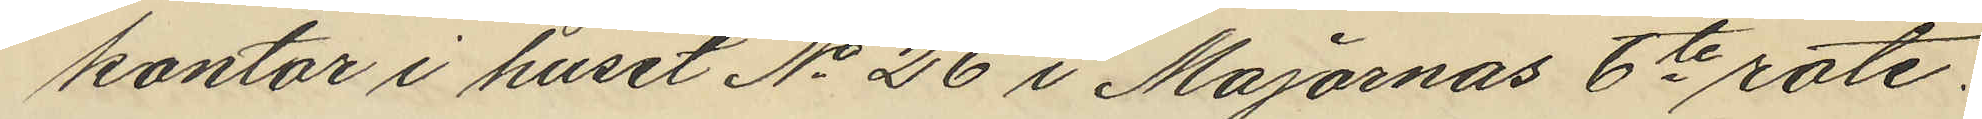kontor i huset No 26 i Majornas 6te rote.
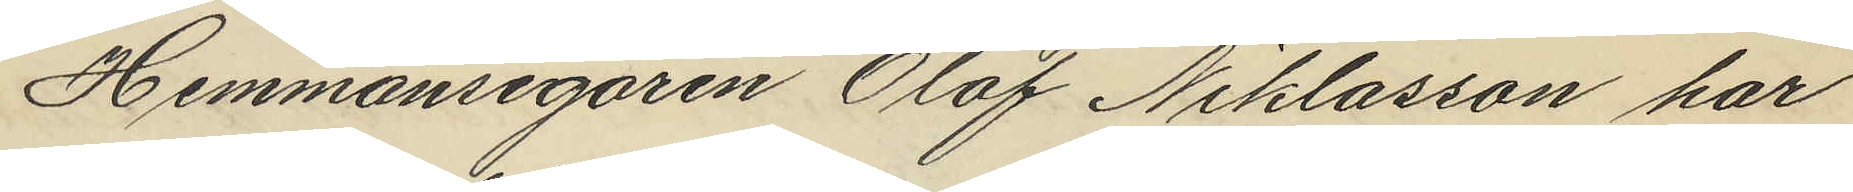Hemmansegaren Olof Niklasson har
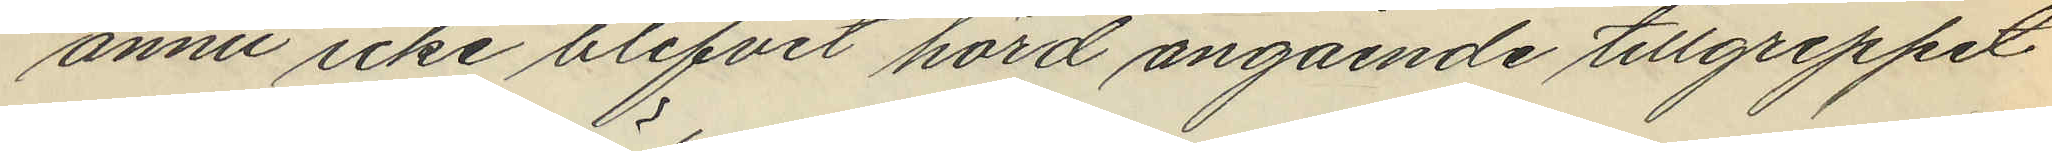ännu icke blifvit hörd angående tillgreppet
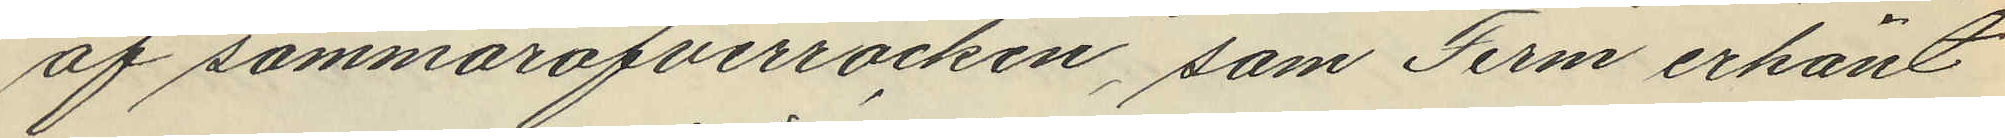af sommaröfverrocken, som Ferm erkänt
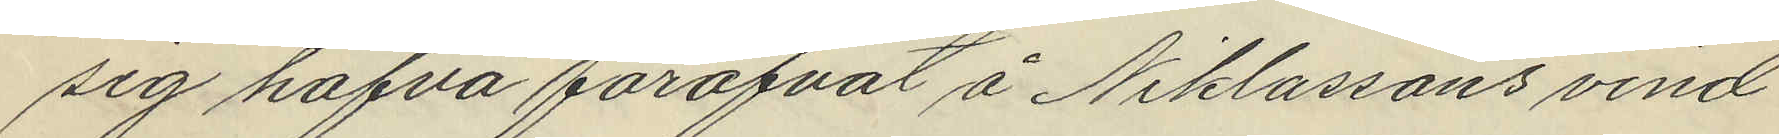sig hafva föröfvat å Niklassons vind.
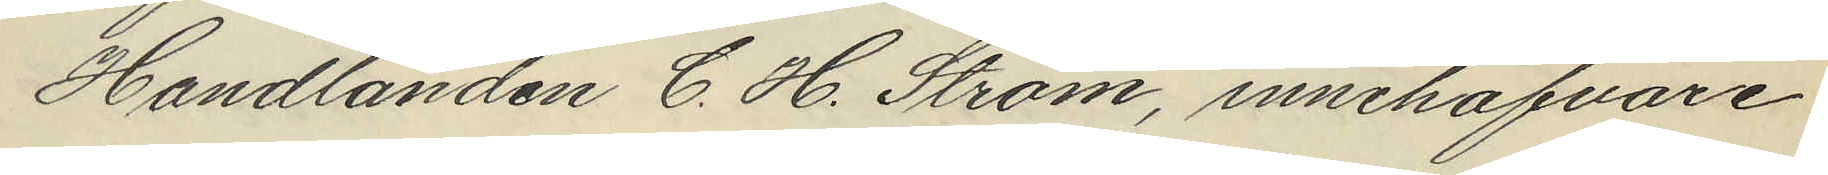Handlanden C. H. Ström, innehafvare
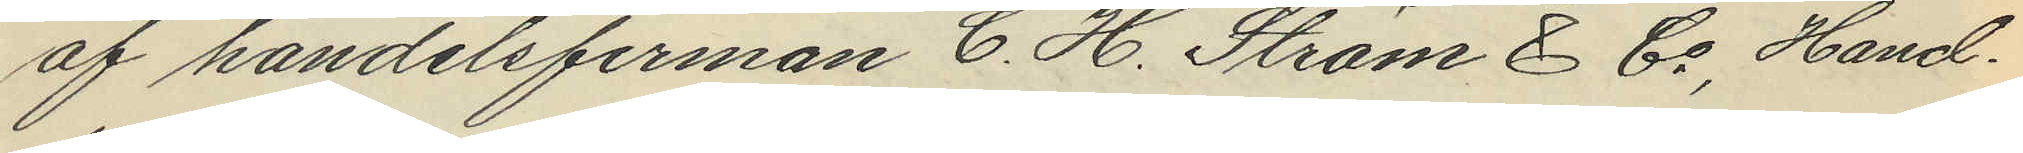af handelsfirman C. H. Ström & Co, Hand¬
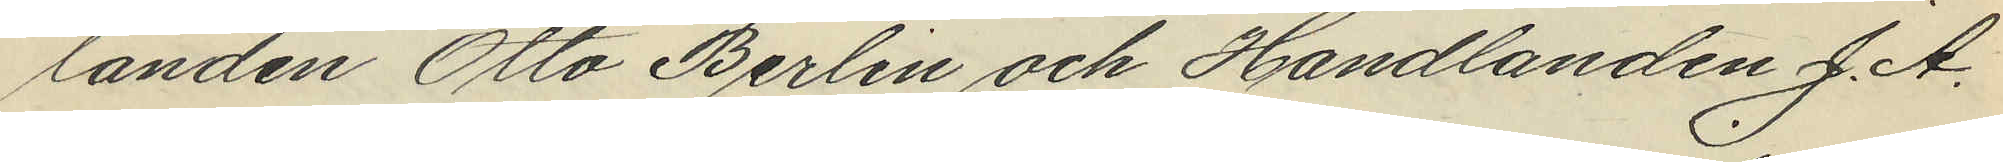landen Otto Berlin och Handlanden J. A.
